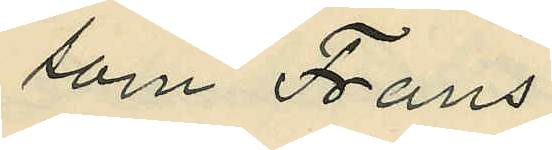som Frans
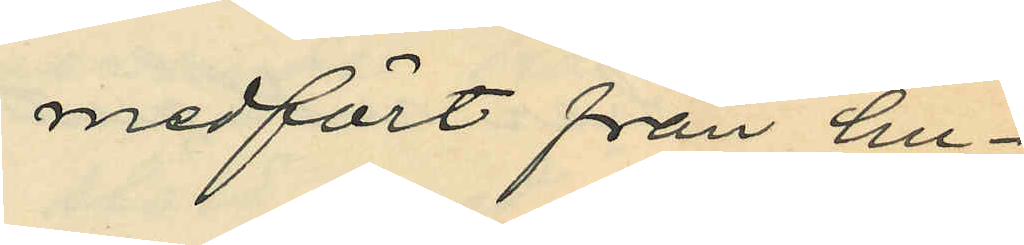medfört från hu¬
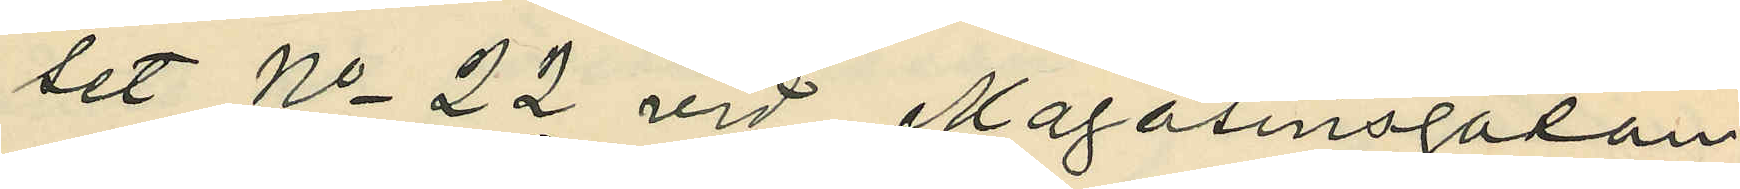set No 22 vid Magasinsgatan;
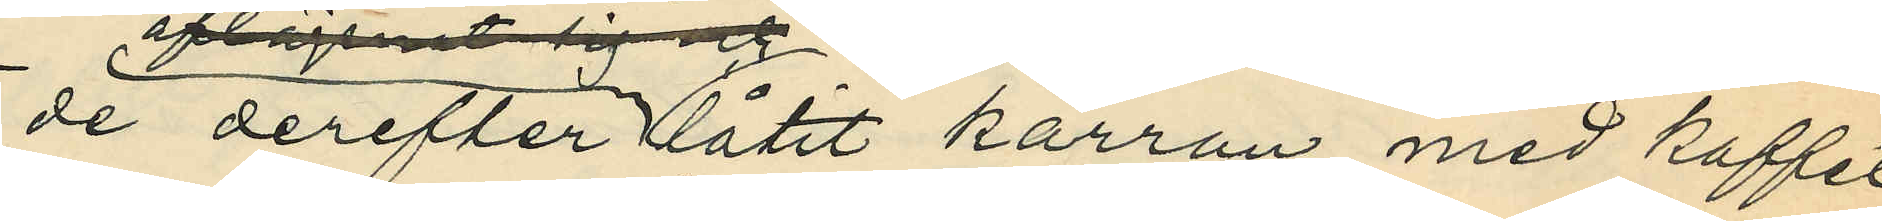de derefter låtit kärran med kaffet
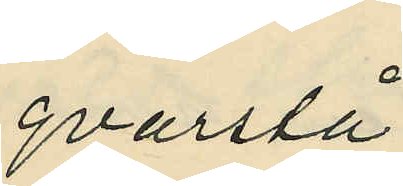qvarstå
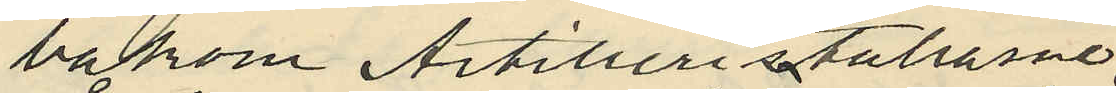bakom Artilleristallarne
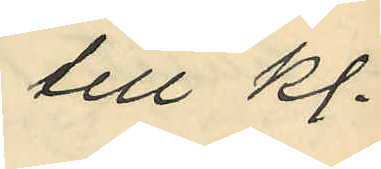till kl.
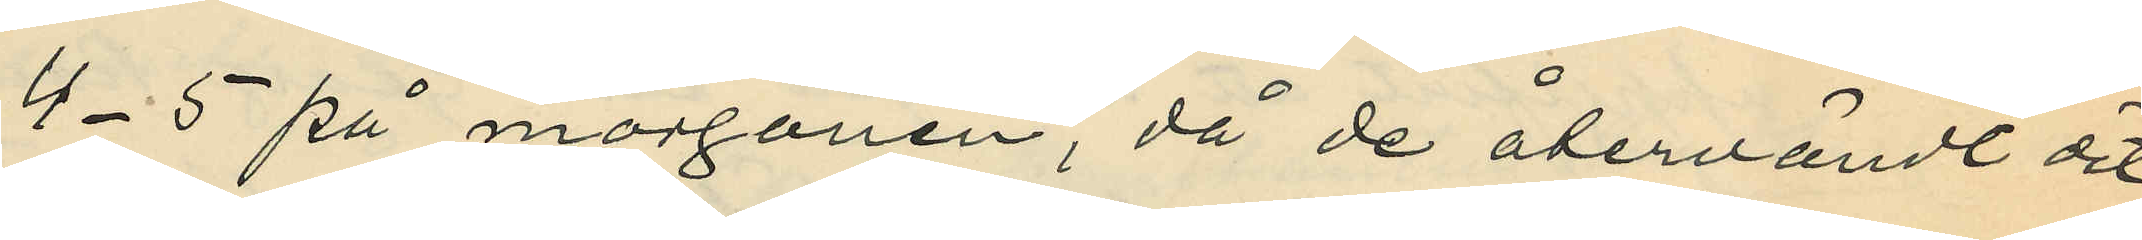4-5 på morgonen, då de återvändt dit;
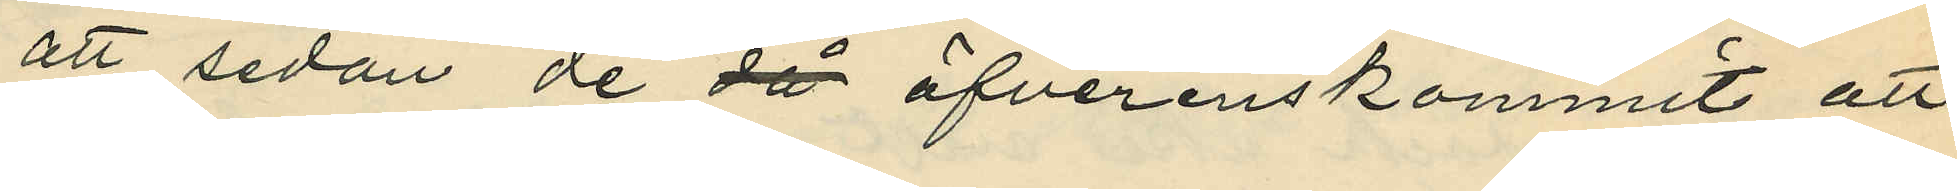att sedan de då öfverenskommit att
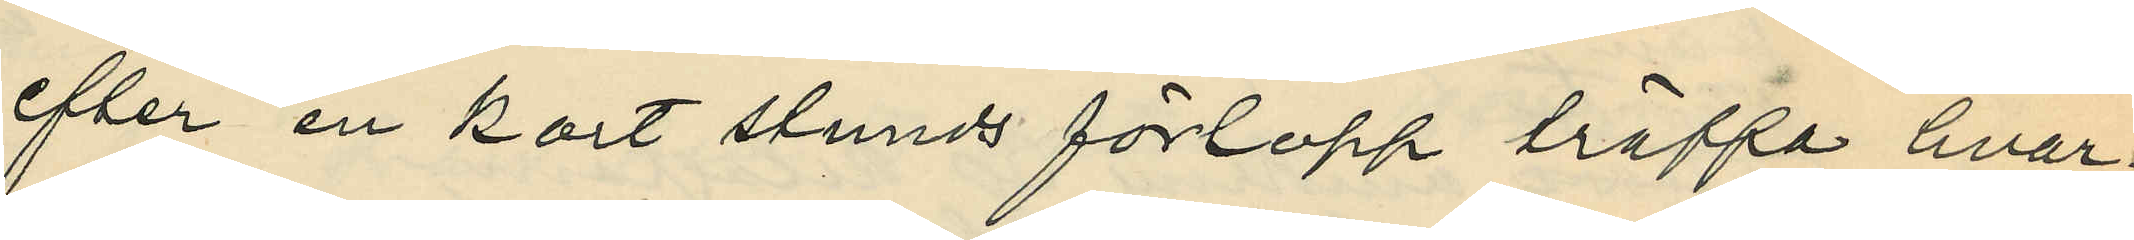efter en kort stunds förlopp träffa hvar¬
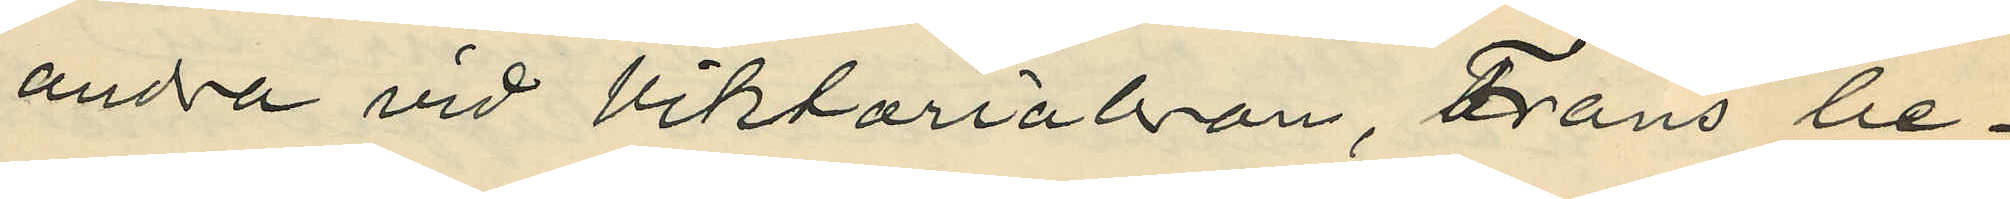andra vid Viktoriabron, Frans be¬
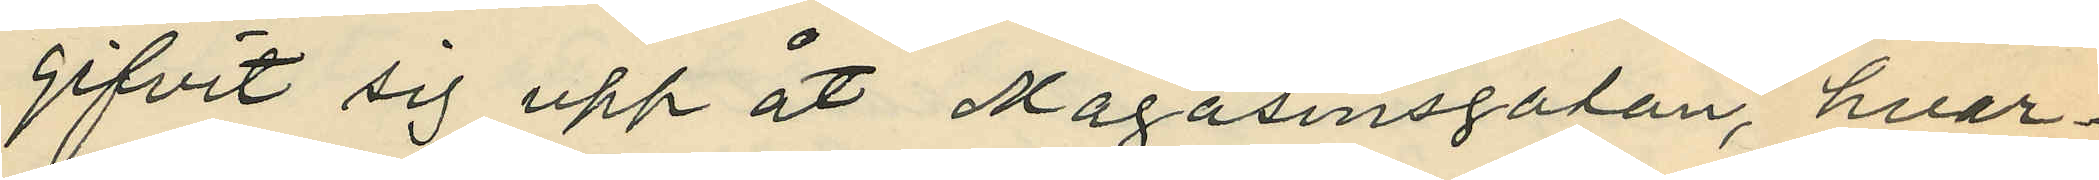gifvit sig upp åt Magasinsgatan, hvar¬
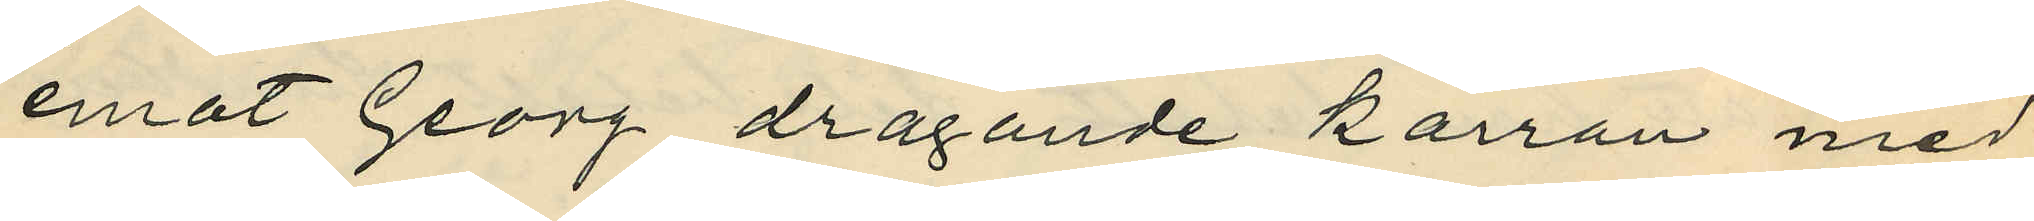emot Georg dragande kärran med
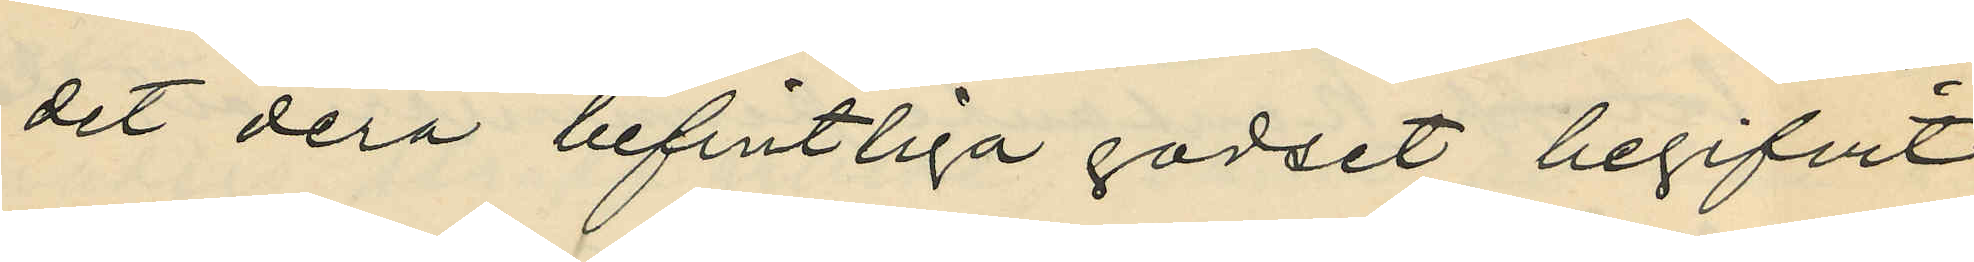det derå befintliga godset begifvit
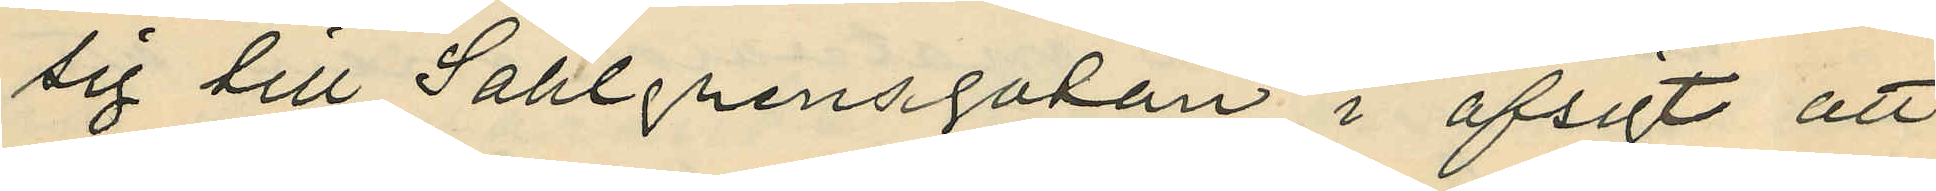sig till Sahlgrensgatan i afsigt att
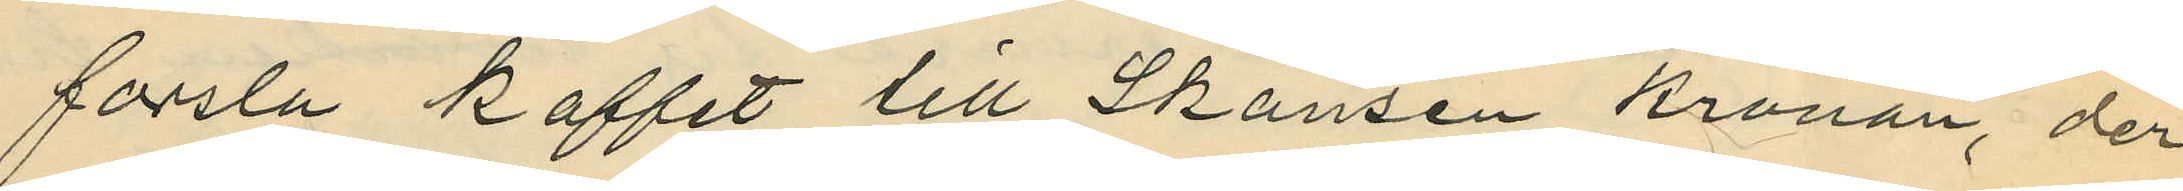forsla kaffet till Skansen Kronan, der
